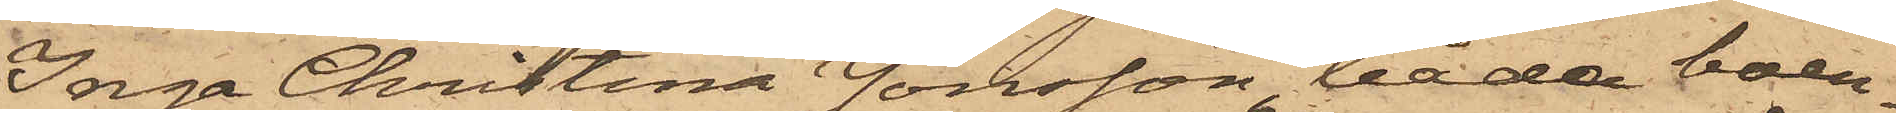Inga Christina Jonsson båda boen¬
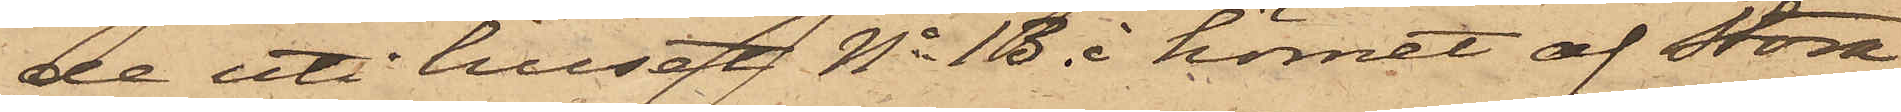de uti huset No 13 i hörnet af Stora
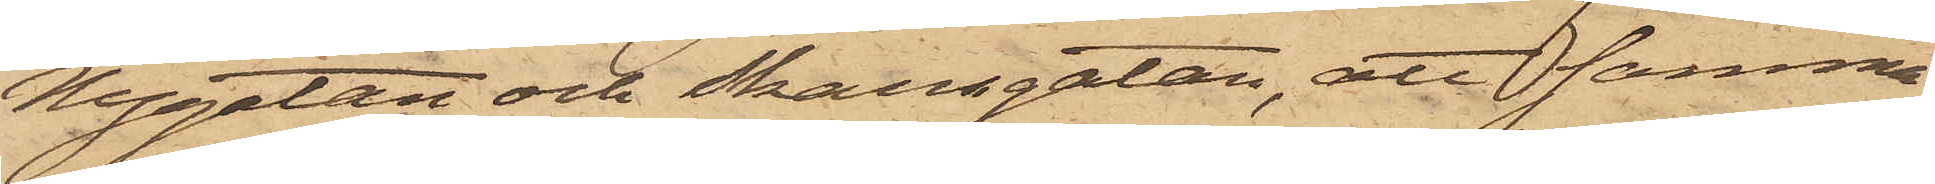Nygatan och Skansgatan, att samma
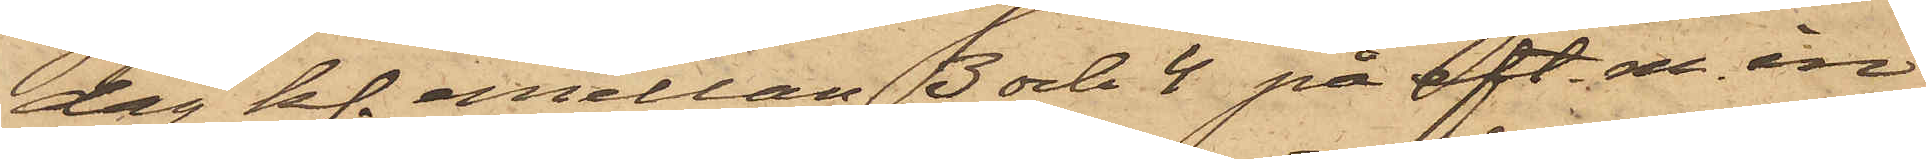dag kl. emellan 3 och 4 på eft. m. in¬
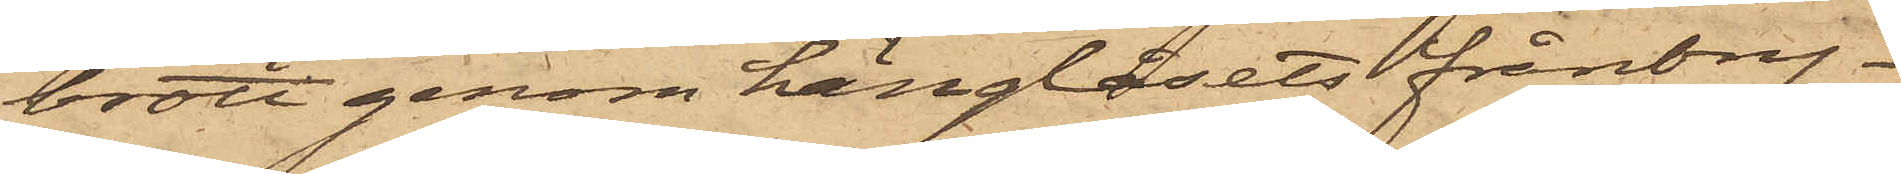brott genom hänglåsets frånbry¬
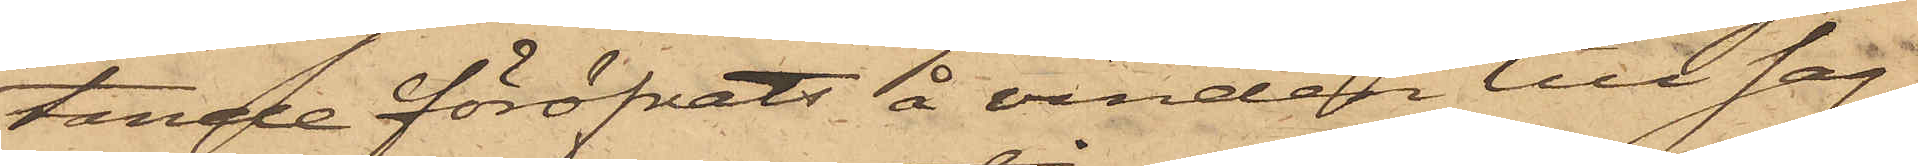tande föröfvats å vinden till sag¬
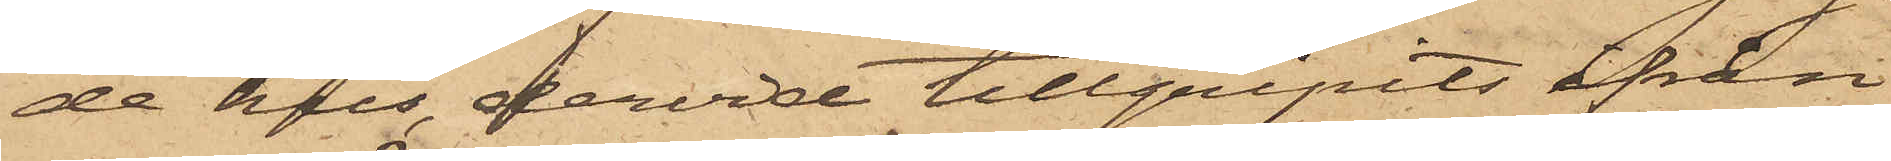de hus, dervid tillgripits ifrån
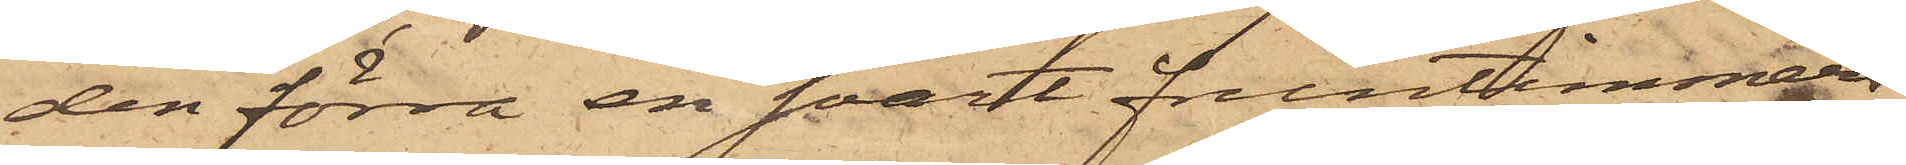den förra en svart fruntimmers¬
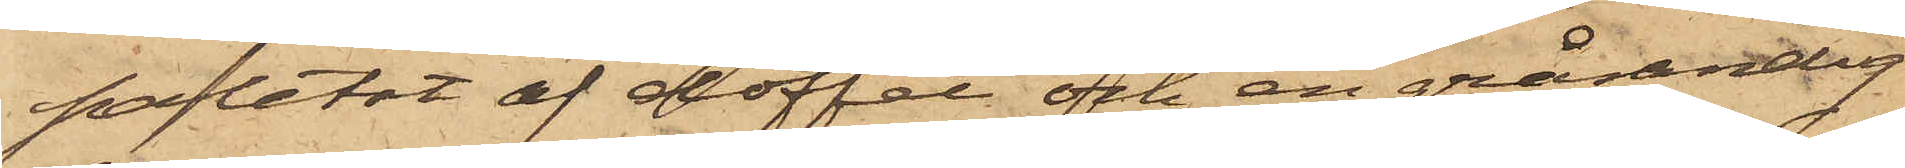paletot af doffel och en grårandig
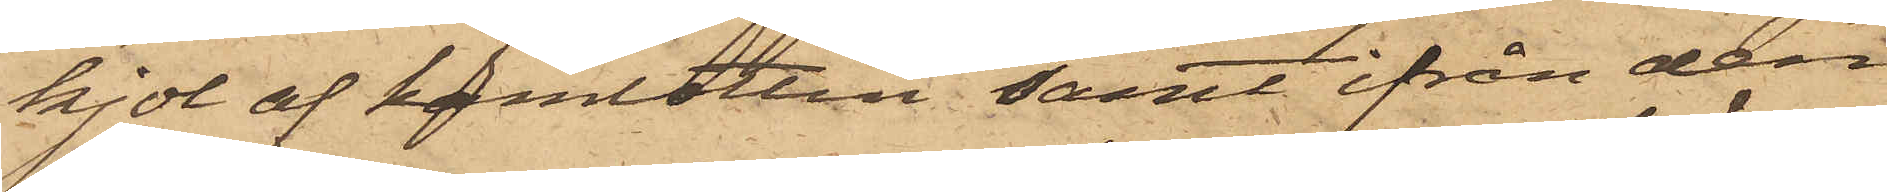kjol af kamlottin samt från den
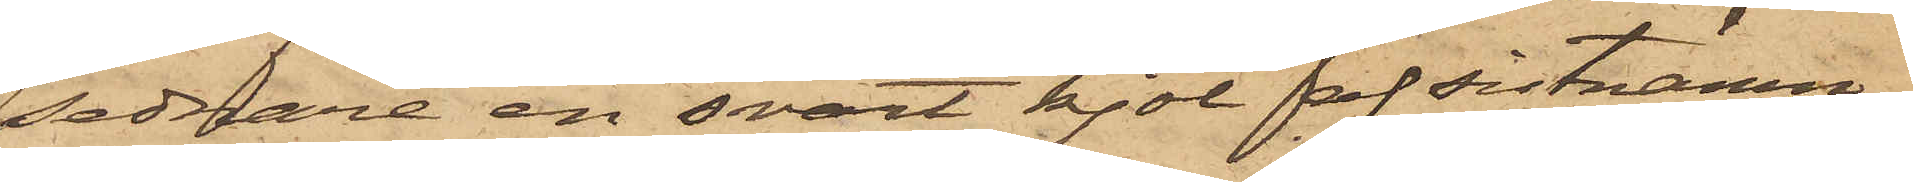sednare en svart kjol af sistnämn¬
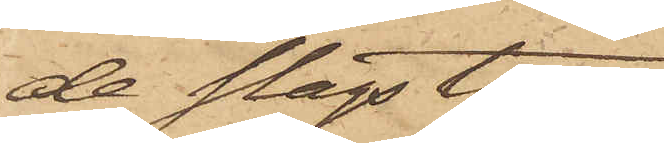de slags tyg.
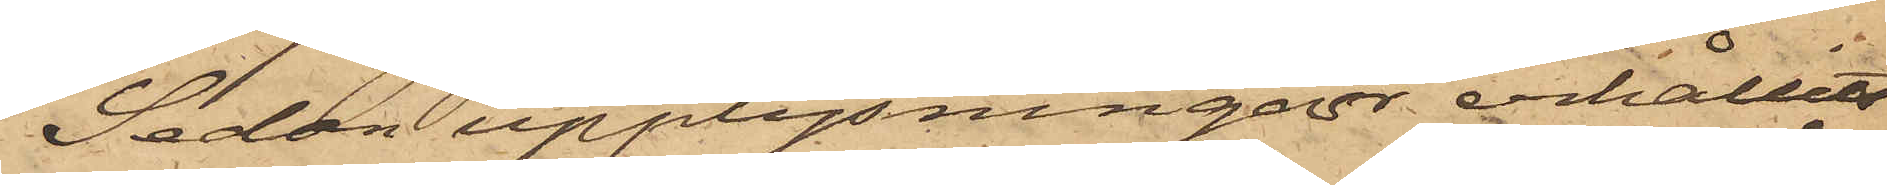Sedan upplysningar erhållit
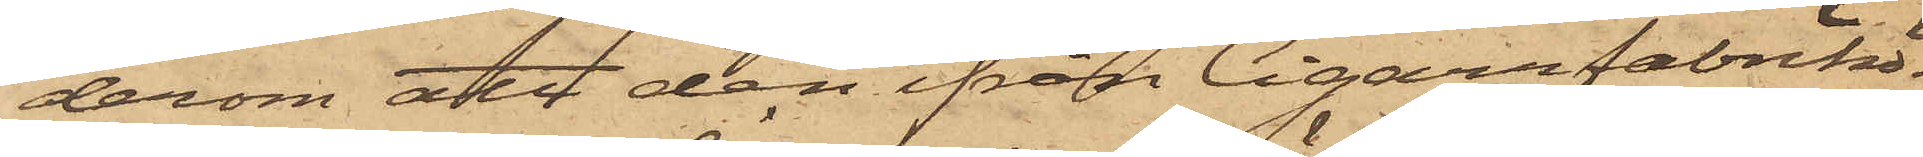derom att den ifrån Cigarrfabrikö¬
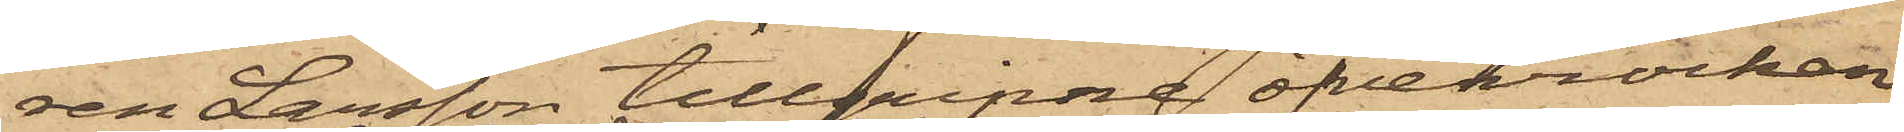ren Larsson tillgripne öfverrocken
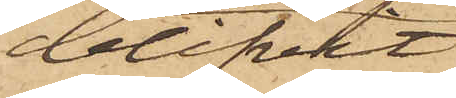blifvit
